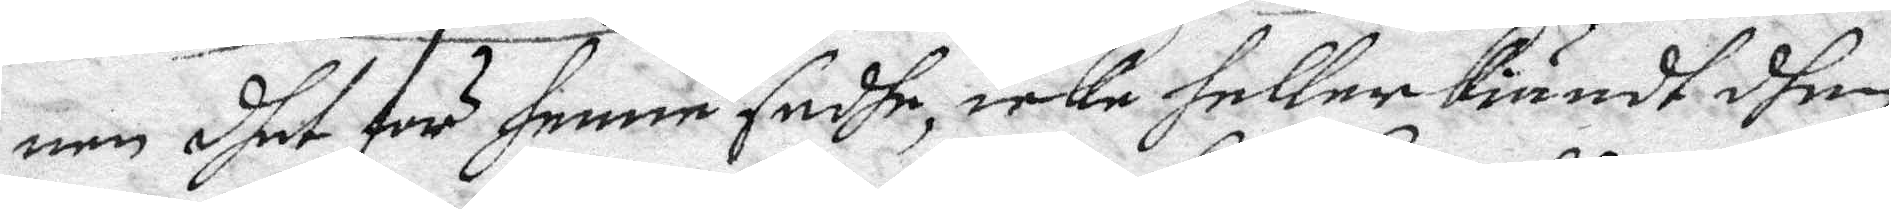nen dhet för henne sadhe, icke heller kiändt dhen
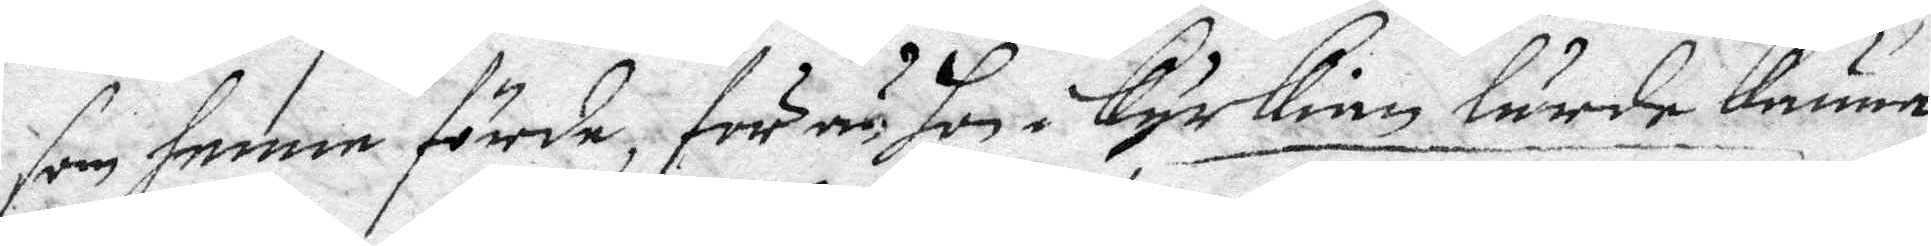som henne förde, för än hon i Kyrkian lärde Känna
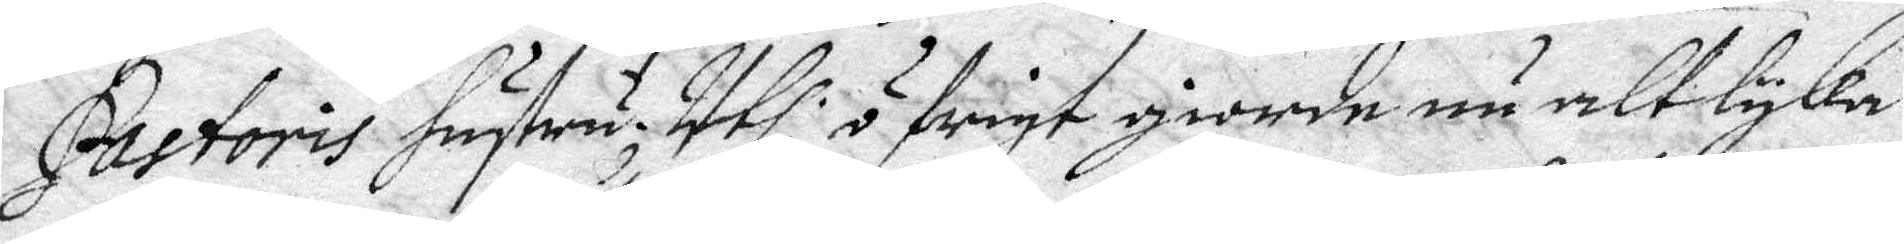Pastoris hustru; Uthi öfrigt giorde nu alt lyka
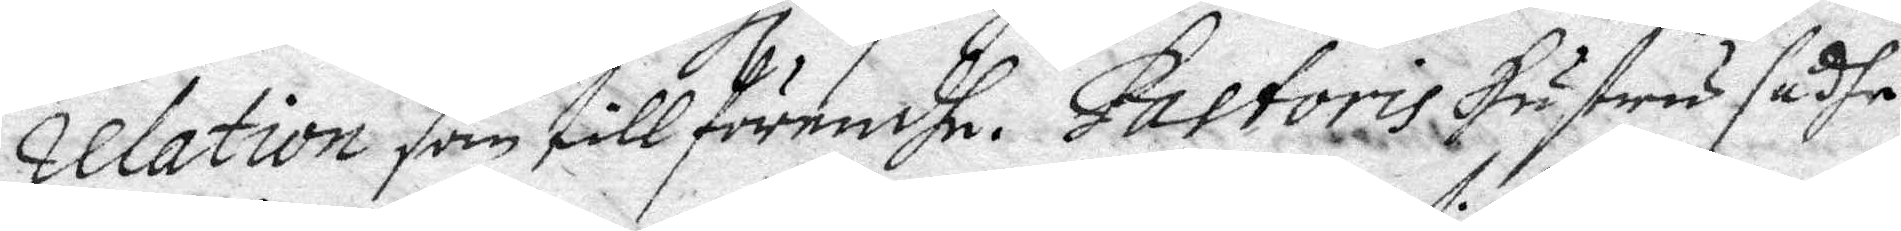relation som tillförendhe. Pastoris hustru sadhe
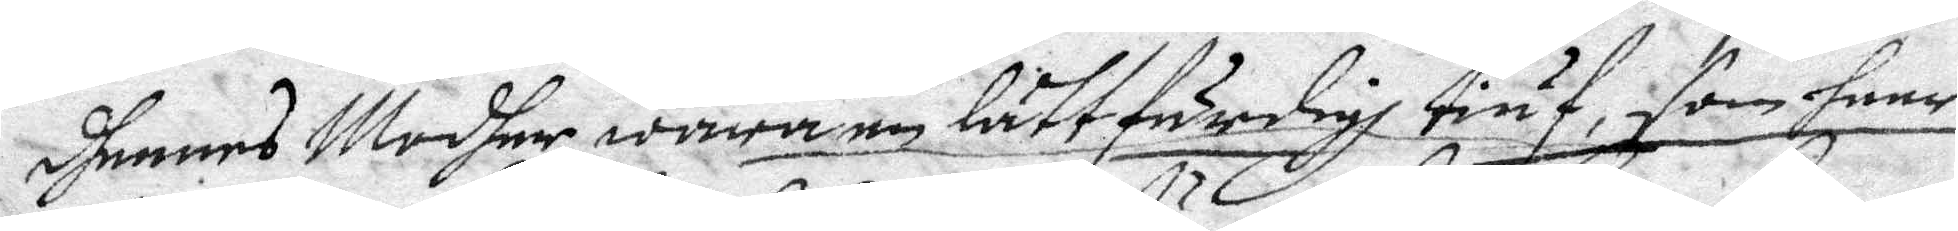dhennes Modher wara en lättfärdigh tiuf, som heer
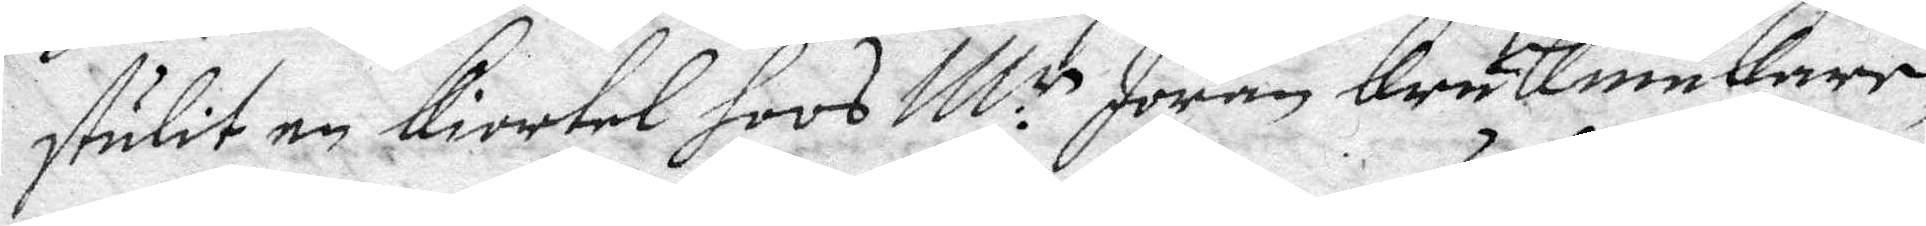stulit en kiortel hoos M:r Jöran krukmakaar,
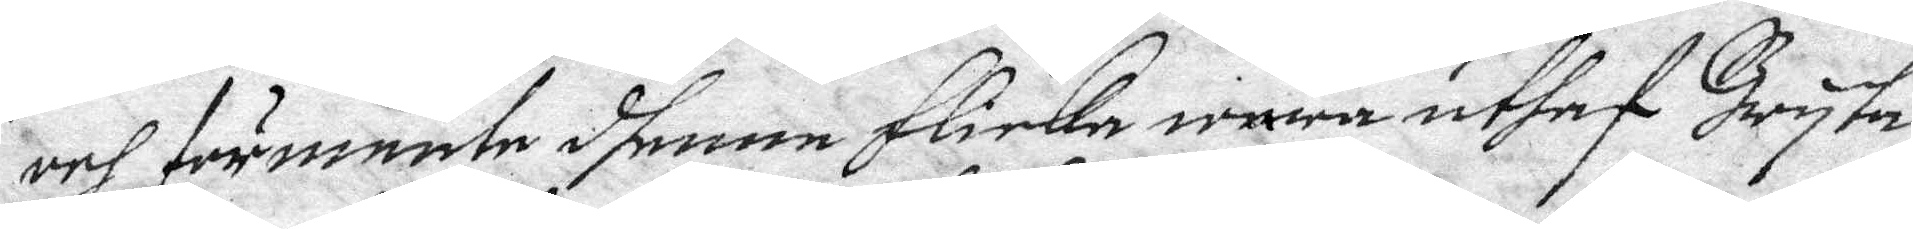och förmente dhenne Flicka wara uthaf Bryta
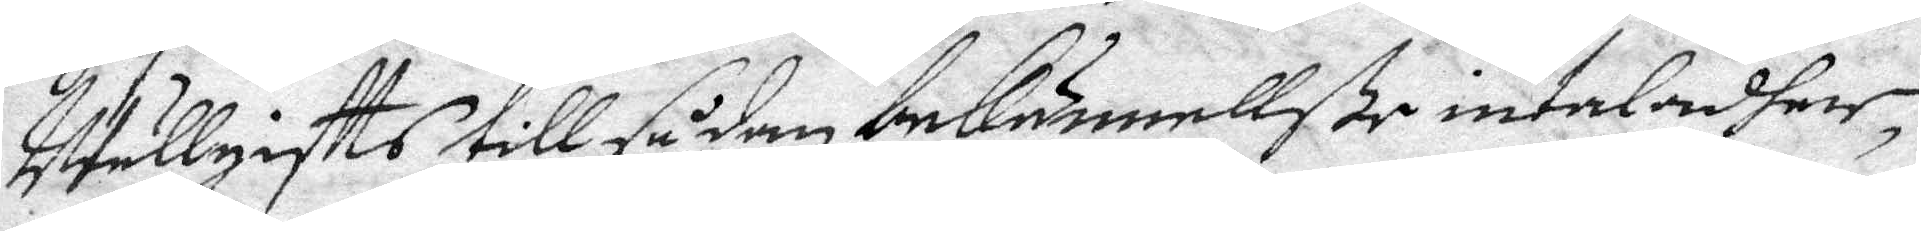Utullgistts till sådan bekännellße intaladher,
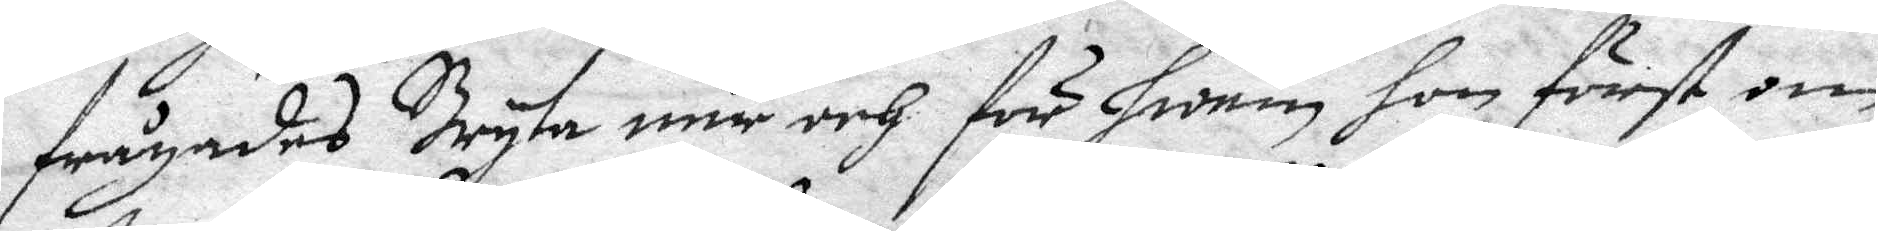frågades Bryta när och för hwem hon först om
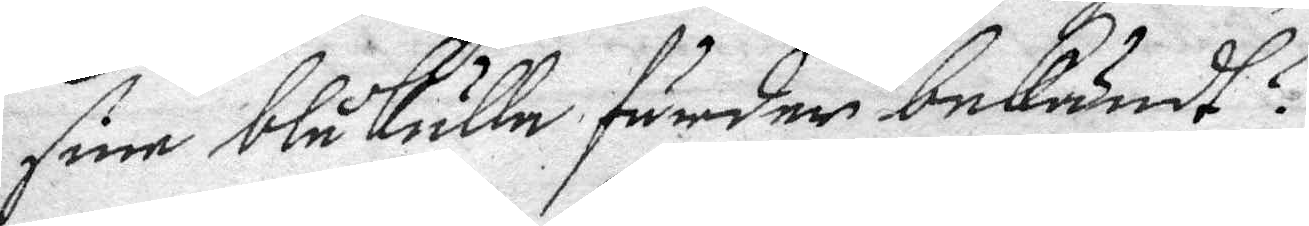sine blåkulla färder bekändt? 
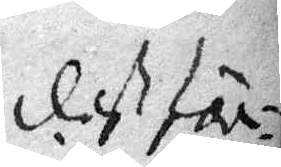deth för¬
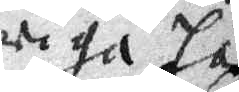riga här
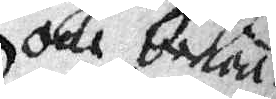och bekä¬
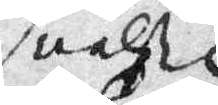nelße
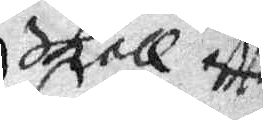skall eftter¬
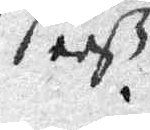seeß.
